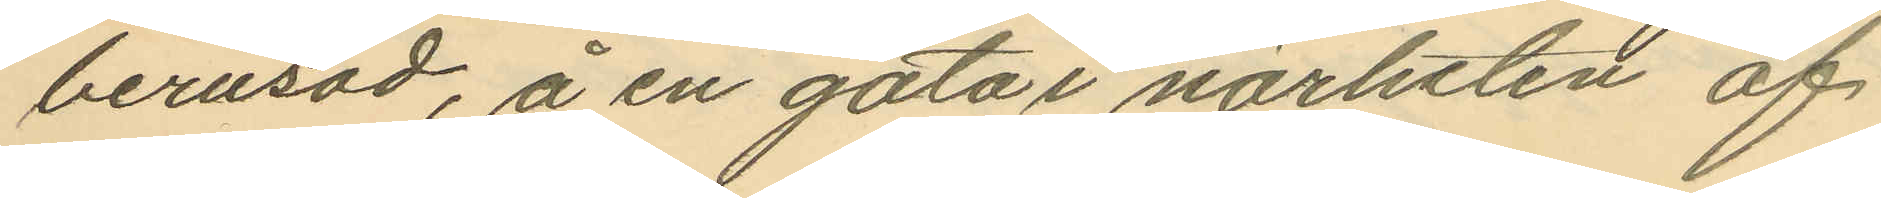berusad, å en gata i närheten af
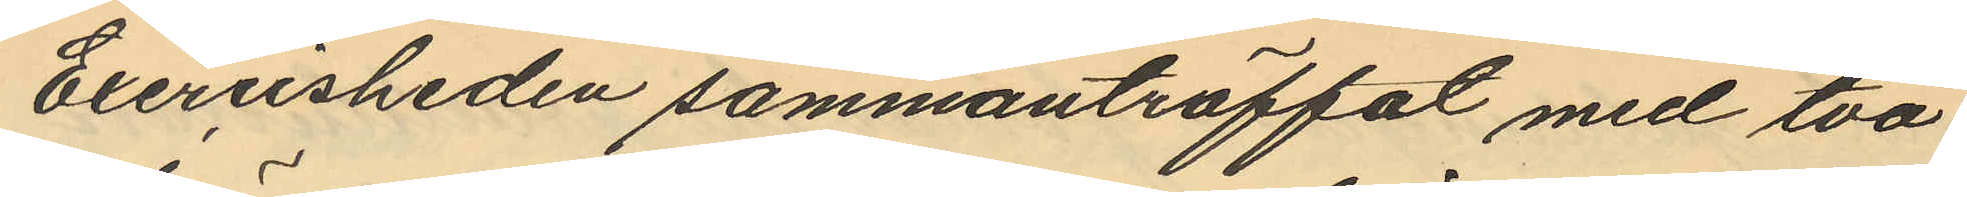Exercisheden sammanträffat med två
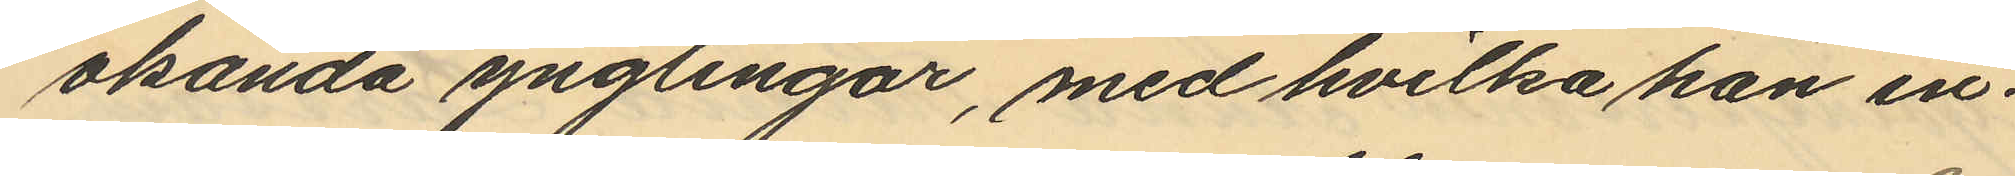okända ynglingar, med hvilka han in¬
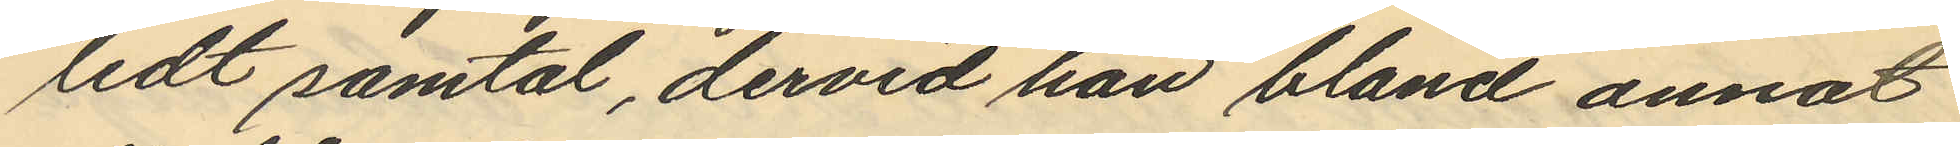ledt samtal, dervid han bland annat
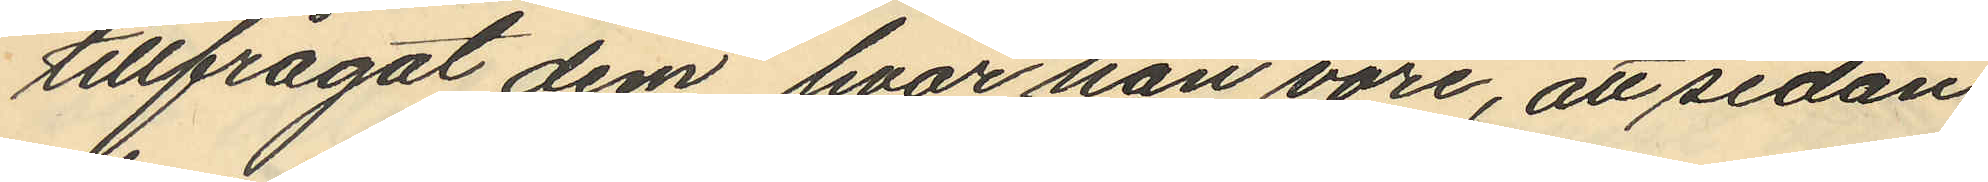tillfrågat dem, hvar han vore, att sedan
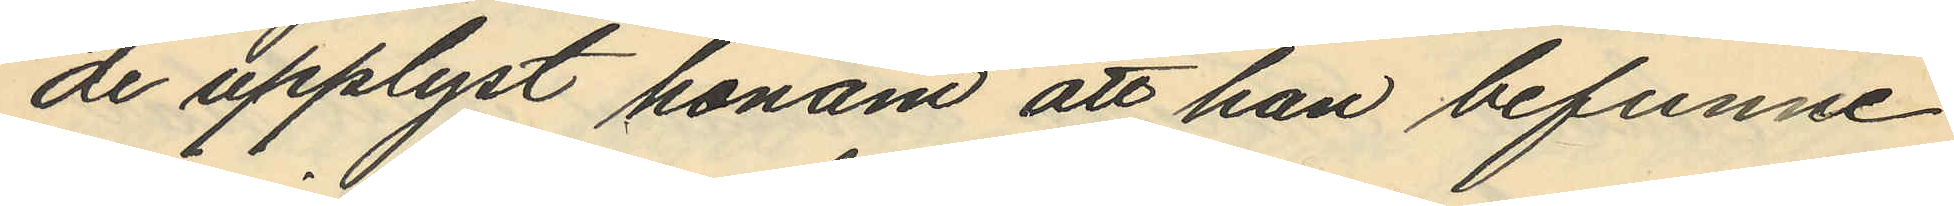de upplyst honom att han befunne
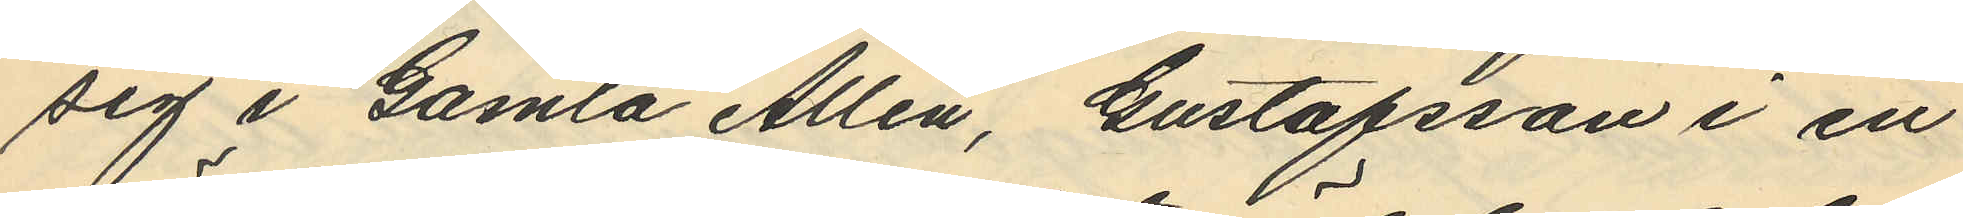sig i Gamla Allén, Gustafsson i en
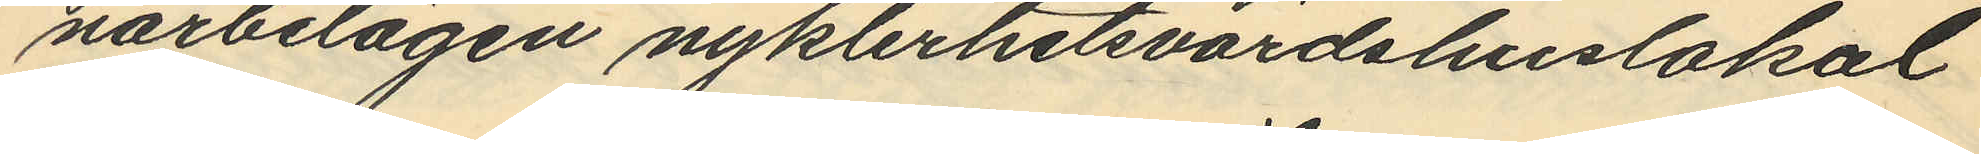närbelägen nykterhetsvärdshuslokal
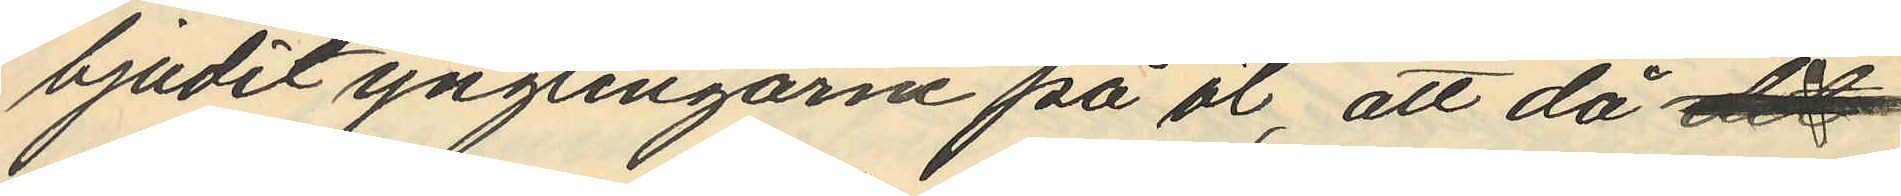bjudit ynglingarne på öl, att då det
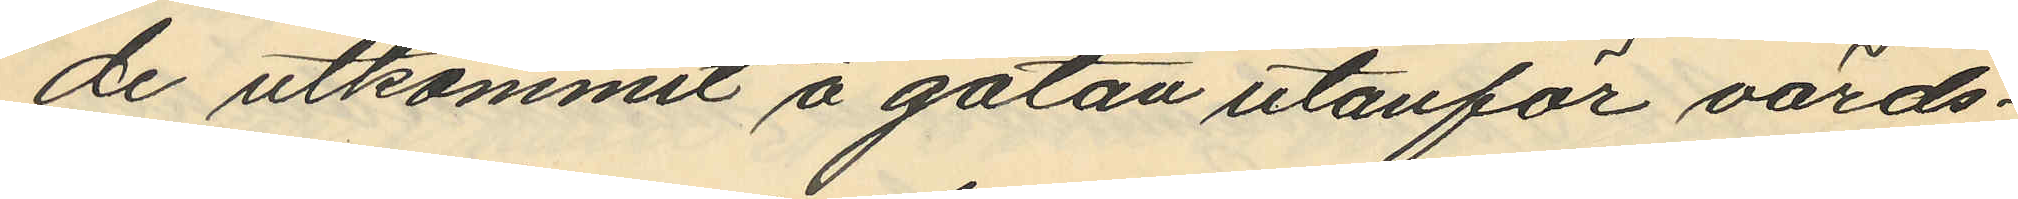de utkommit å gatan utanför värds¬
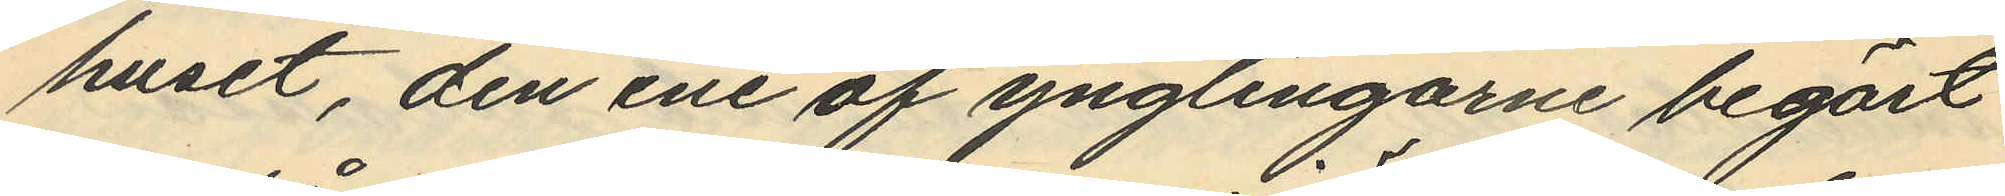huset, den ene af ynglingarne begärt
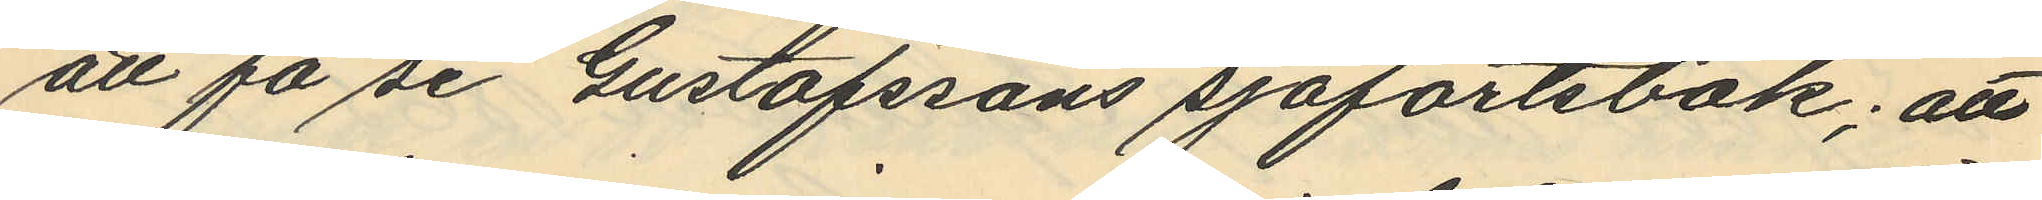att få se Gustafssons sjöfartsbok; att
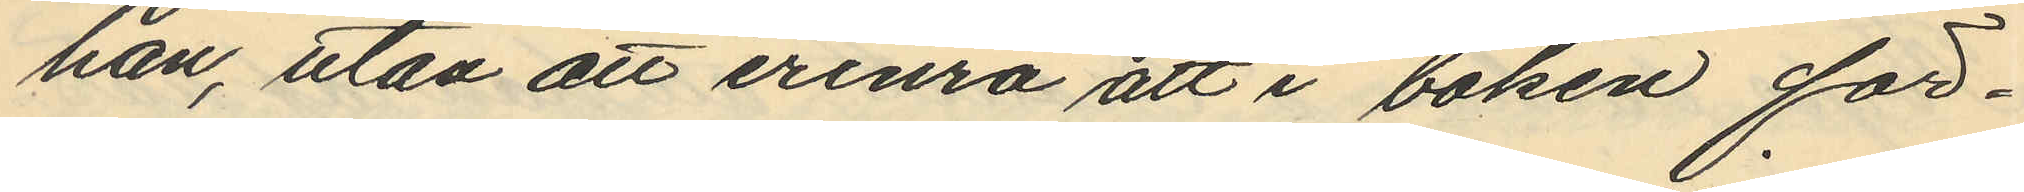han, utan att erinra att i boken för¬
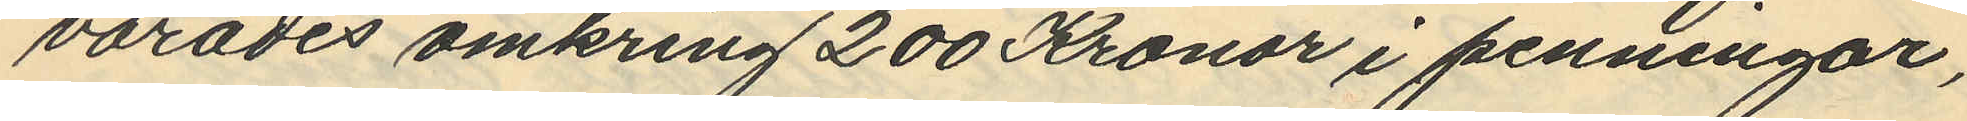varades omkring 200 Kronor i penningar,
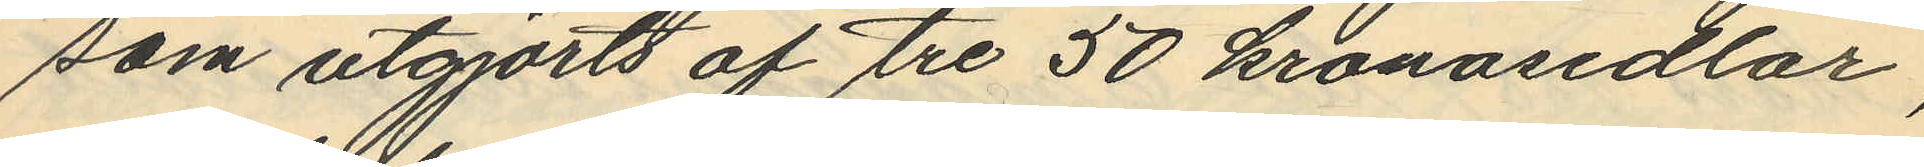som utgjorts af tre 50 kronosedlar,
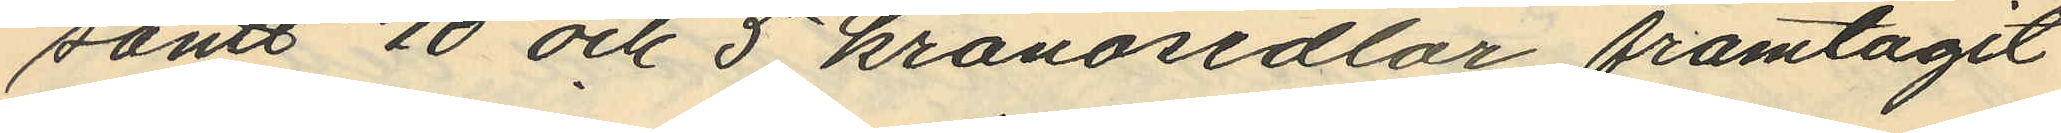samt 10 och 5 kronosedlar framtagit
